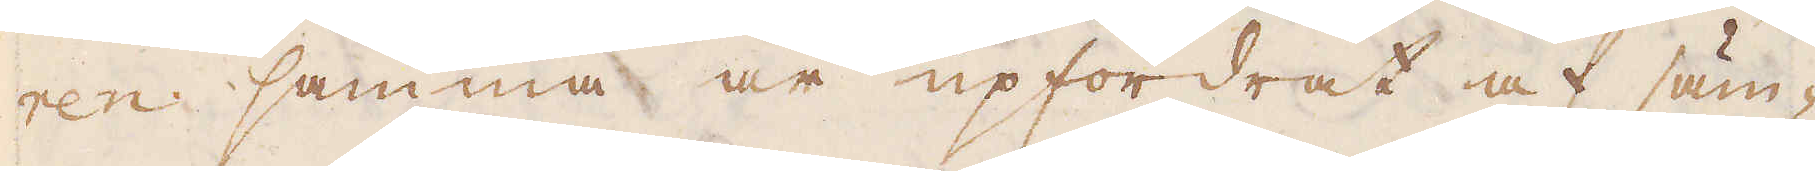ren samma år upfordrat af säm-
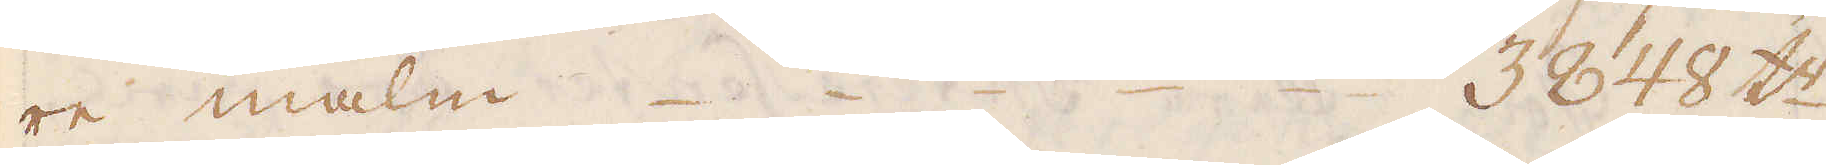re malm. 3848 t:r
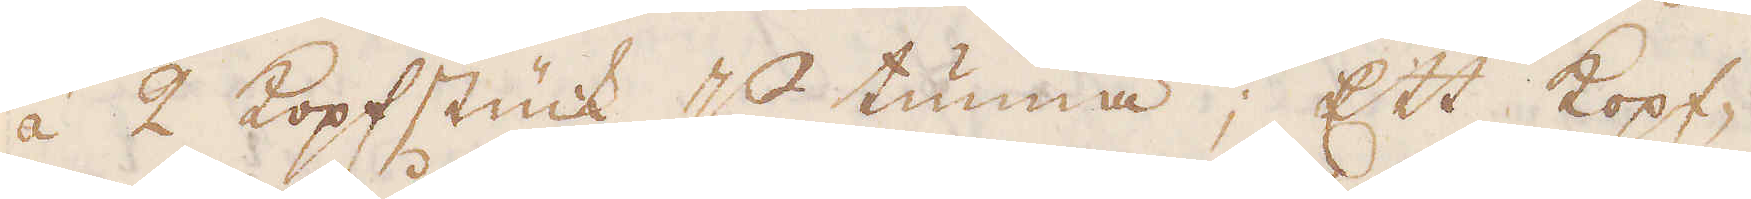á 2 Kopfstück p tunna; Ett kopf-
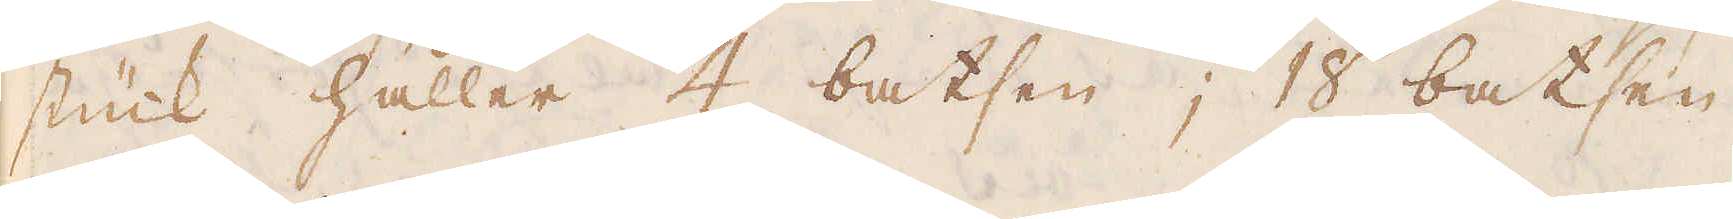stück håller 4 batsen; 18 batsen
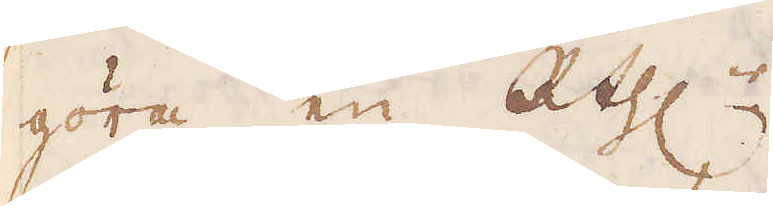göra en R:thlr.
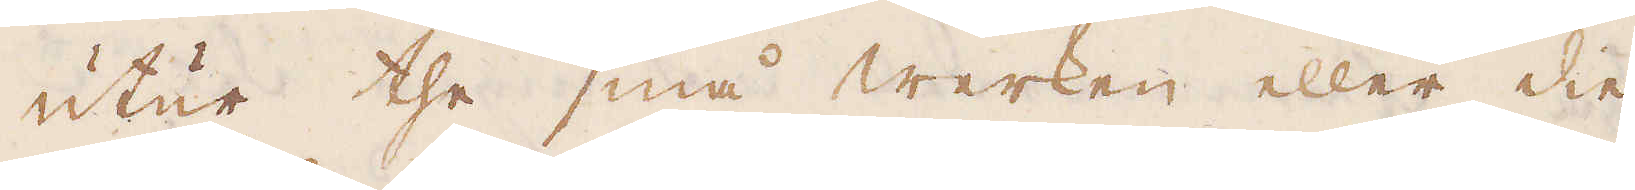Utur the små werken eller die
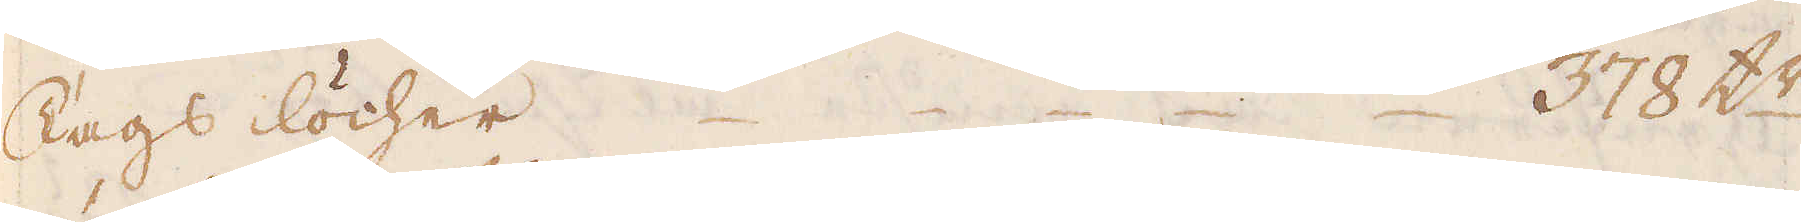dags löcher. 378 t:r
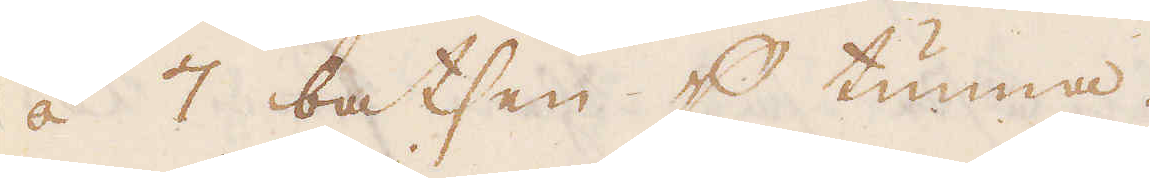á 7 batsen p tunna.
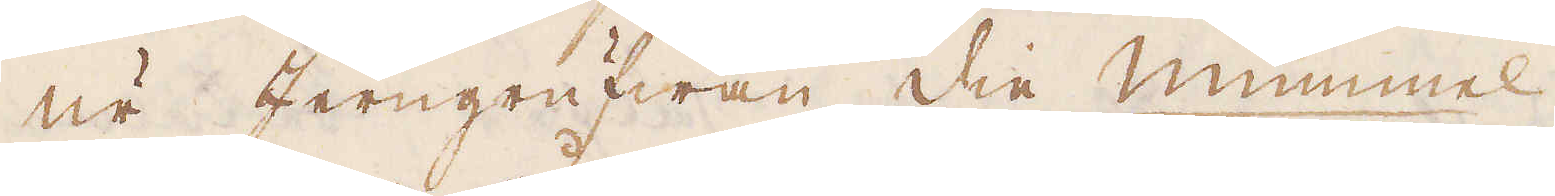Ur Jerngrufwan die mummel.
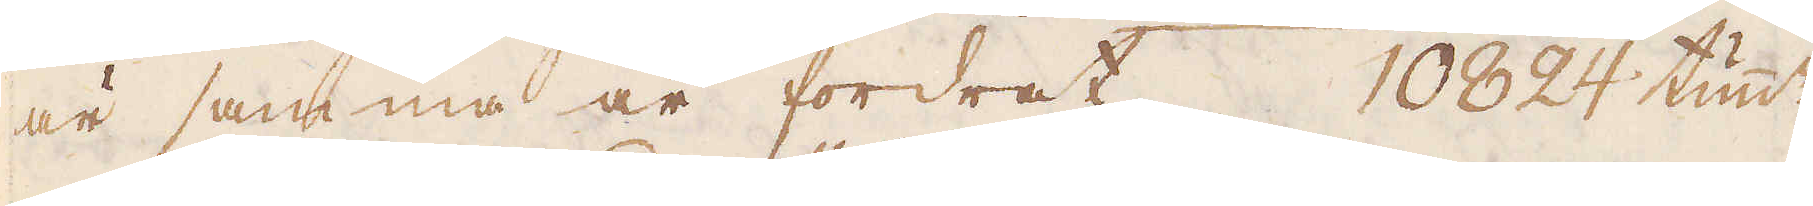är samma år fordrat 10824 tun:r
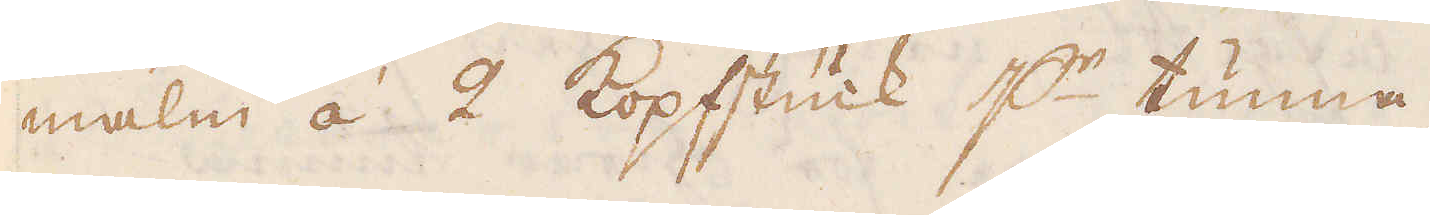malm á 2 kopfstück p:r tunna.
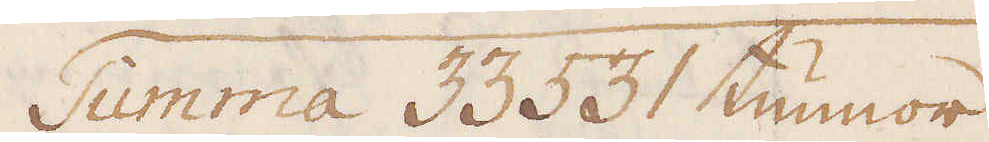Summa 33 531 tunnor.
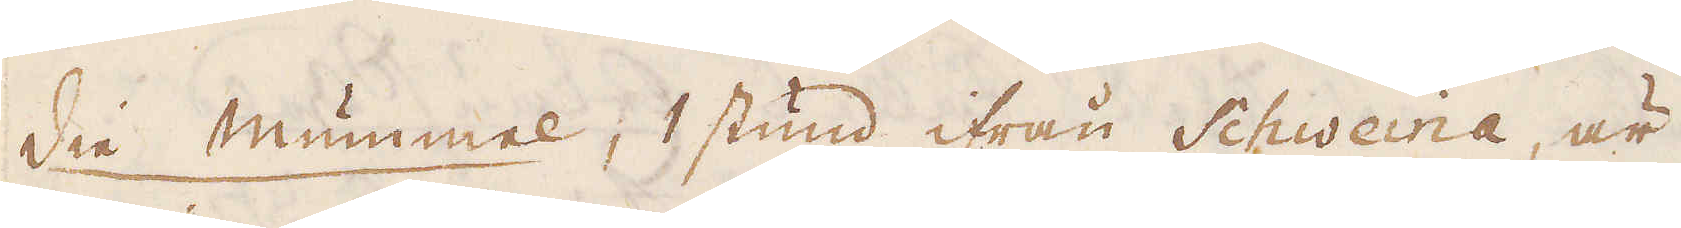die mummel, 1 stund ifrån Schweina, är
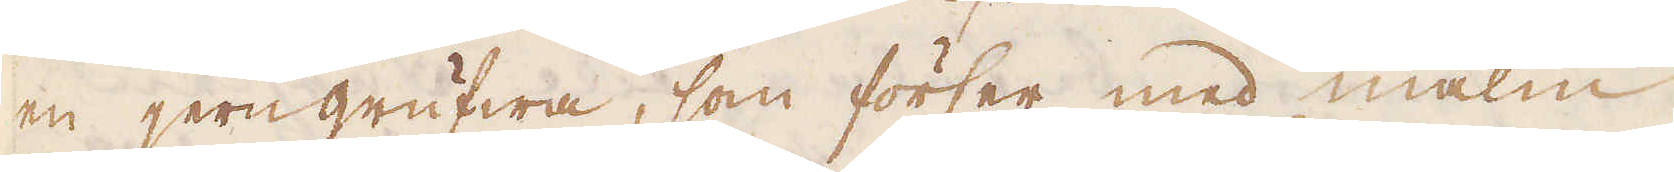en jerngrufwa, som förser med malm
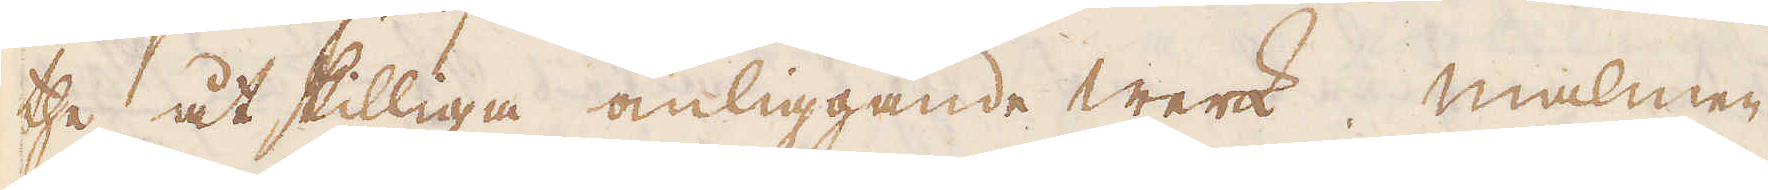the åtskilliga omliggande werk. malmen
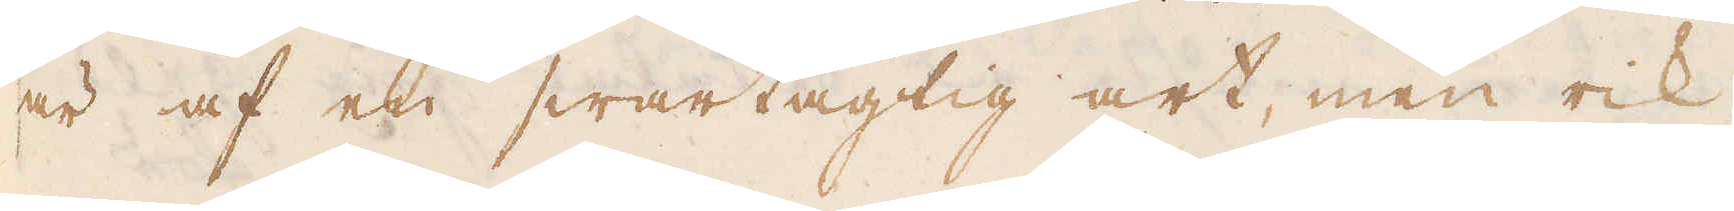är af en swartagtig art, men rik
